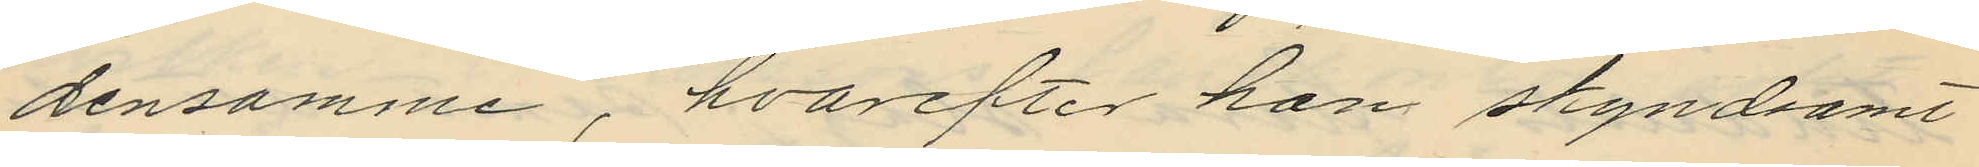densamme, hvarefter han skyndsamt
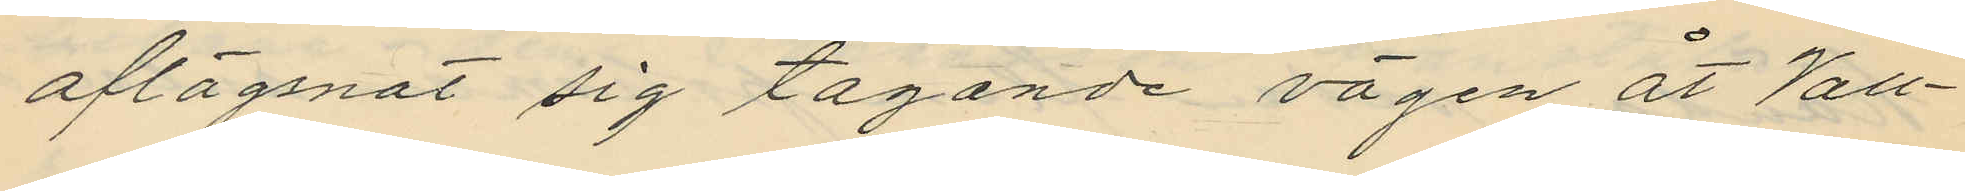aflägsnat sig tagande vägen åt Vall¬
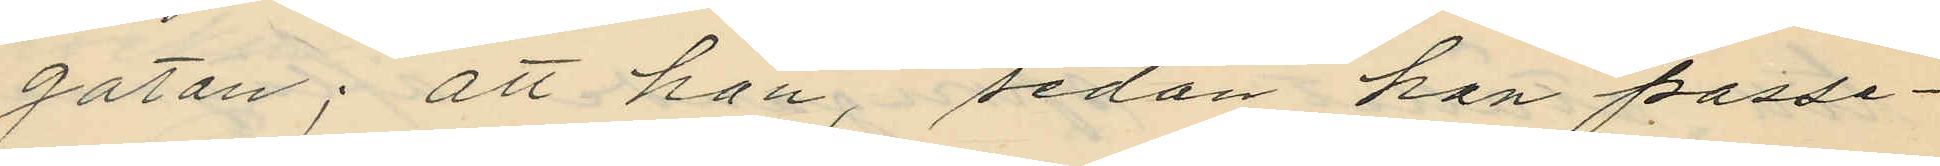gatan; att han, sedan han passe¬
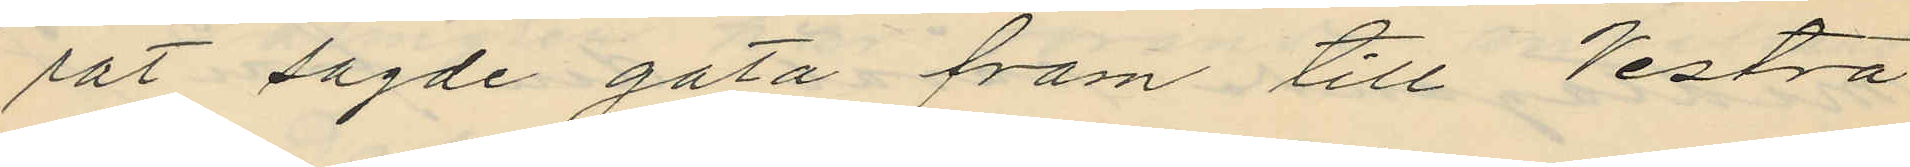rat sagde gata fram till Vestra
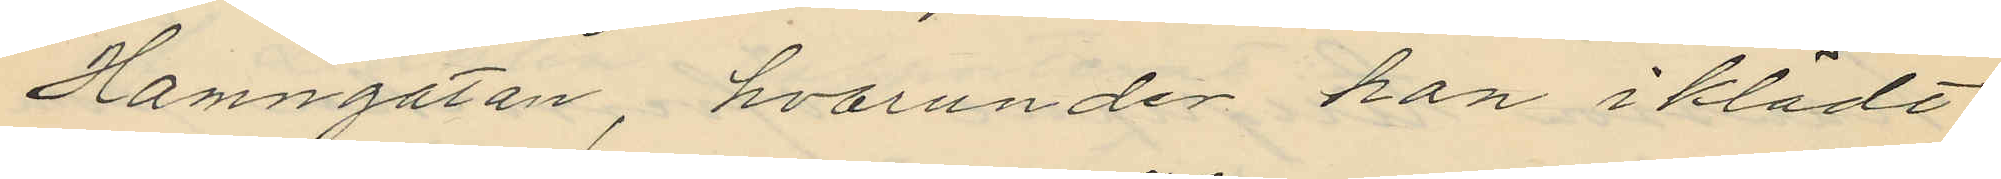Hamngatan, hvarunder han i klädt
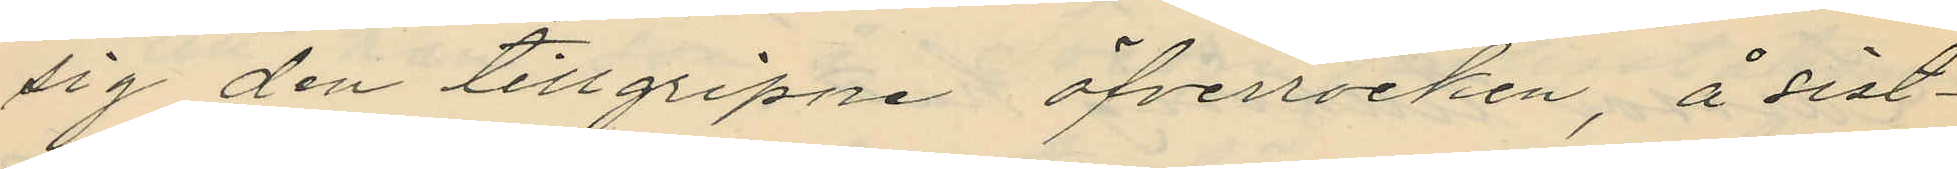sig den tillgripne öfverrocken, å sist¬
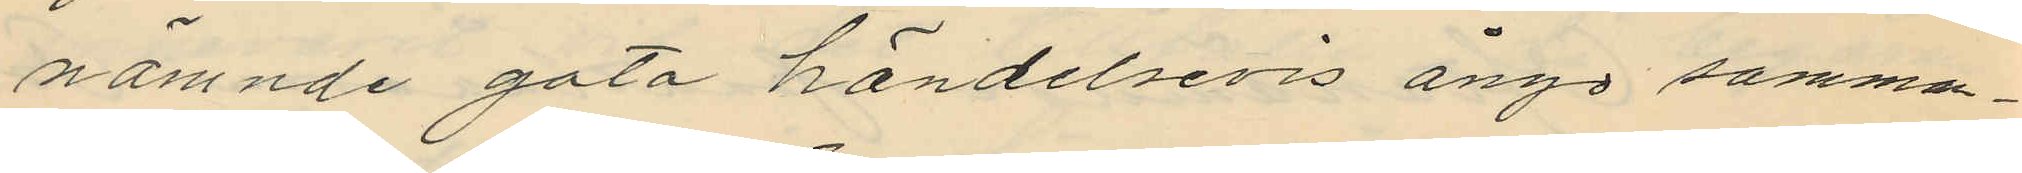nämnde gata händelsevis ånyo samman¬
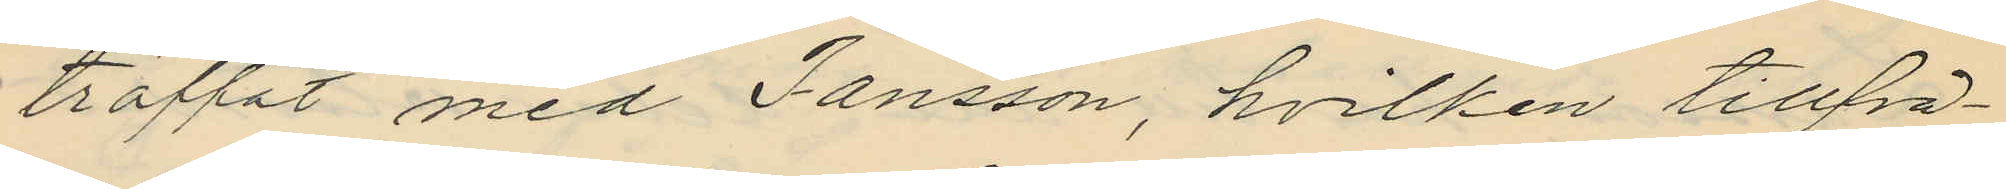träffat med Jansson, hvilken tillfrå¬
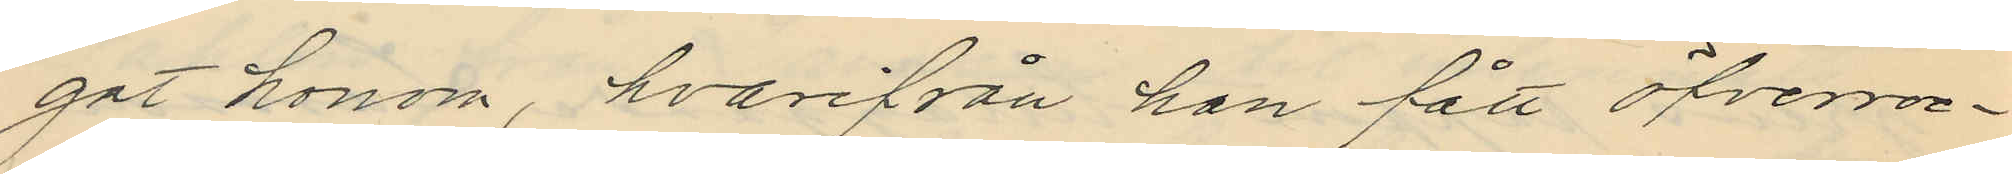gat honom, hvarifrån han fått öfverroc¬
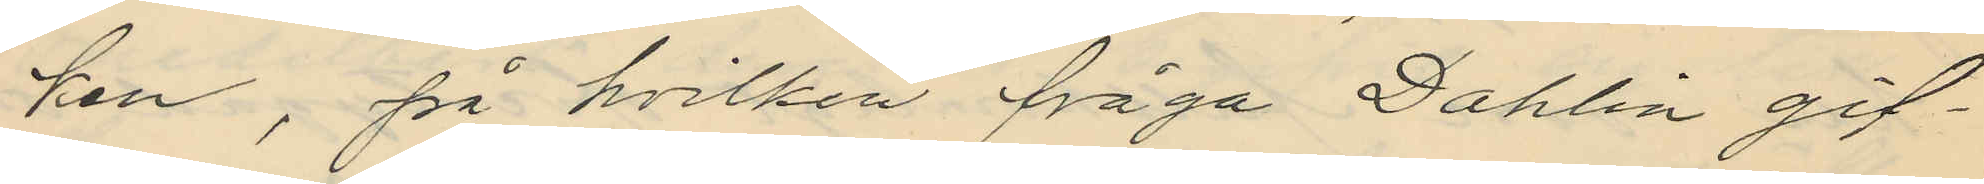ken, på hvilken fråga Dahlin gif¬
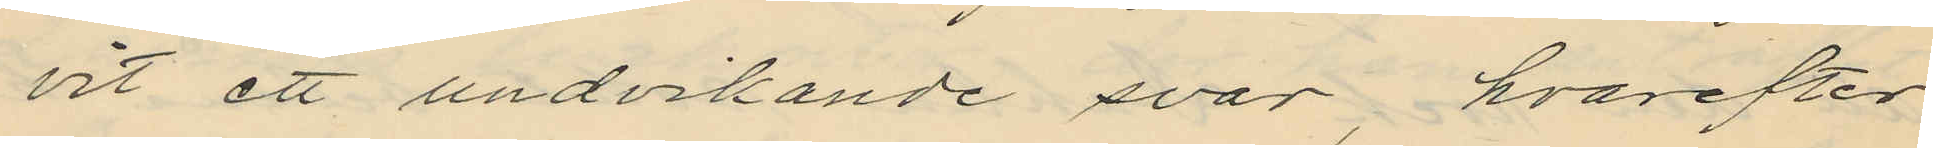vit ett undvikande svar, hvarefter
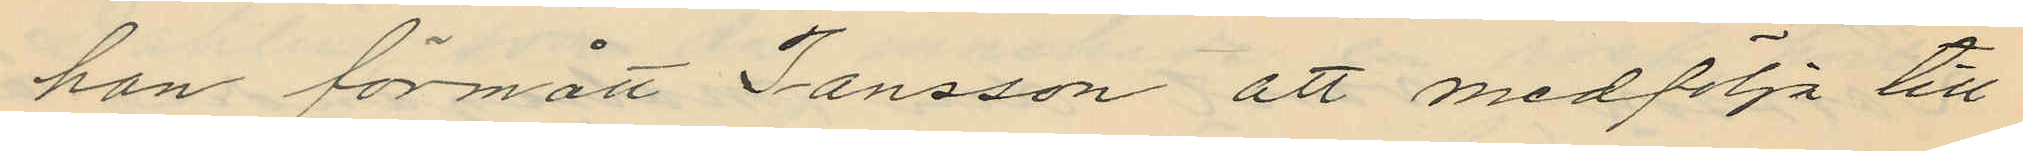han förmått Jansson att medfölja till
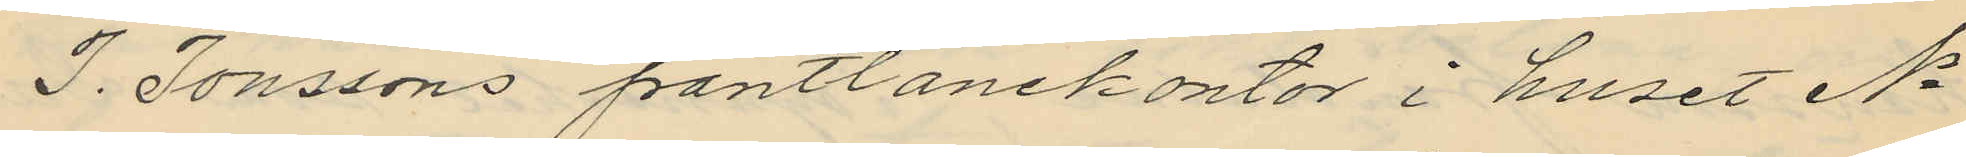J. Jonssons pantlånekontor i huset No
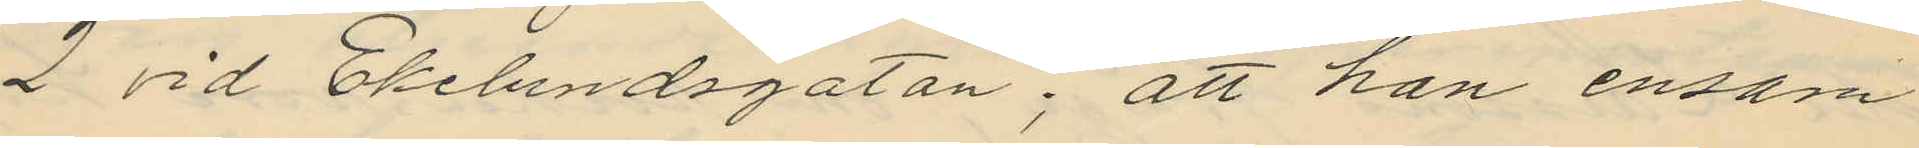2 vid Ekelundsgatan; att han ensam
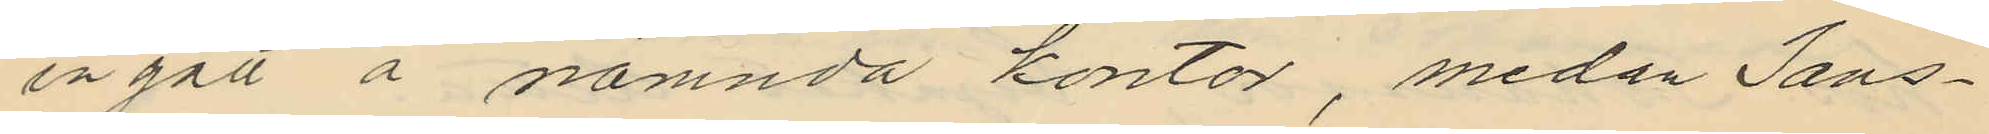ingått å nämnda kontor, medan Jans¬
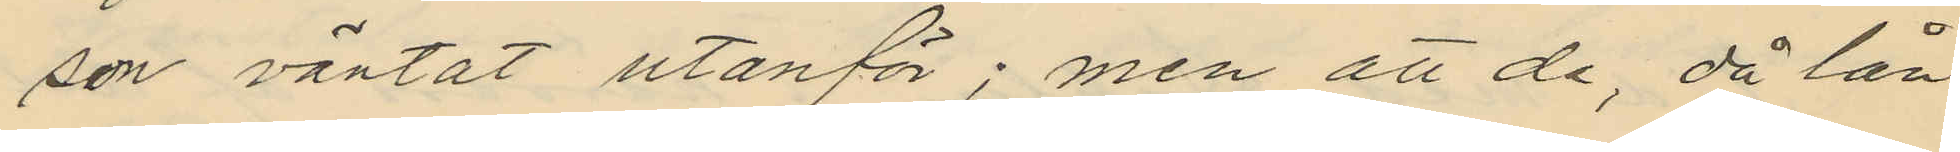son väntat utanför; men att de, då lån
